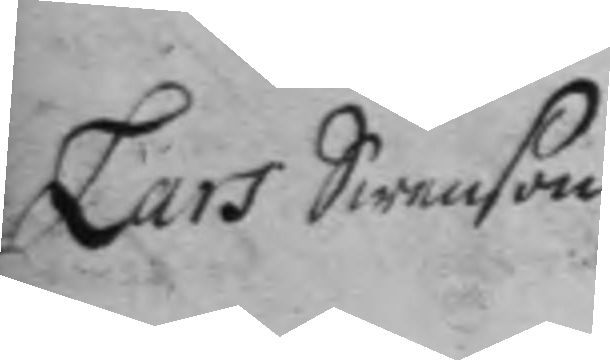Lars Swenson
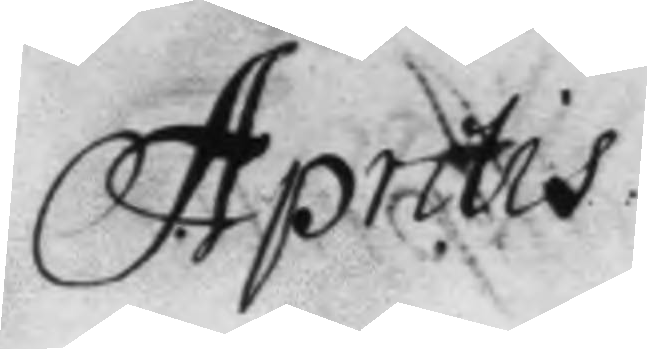Aprilis
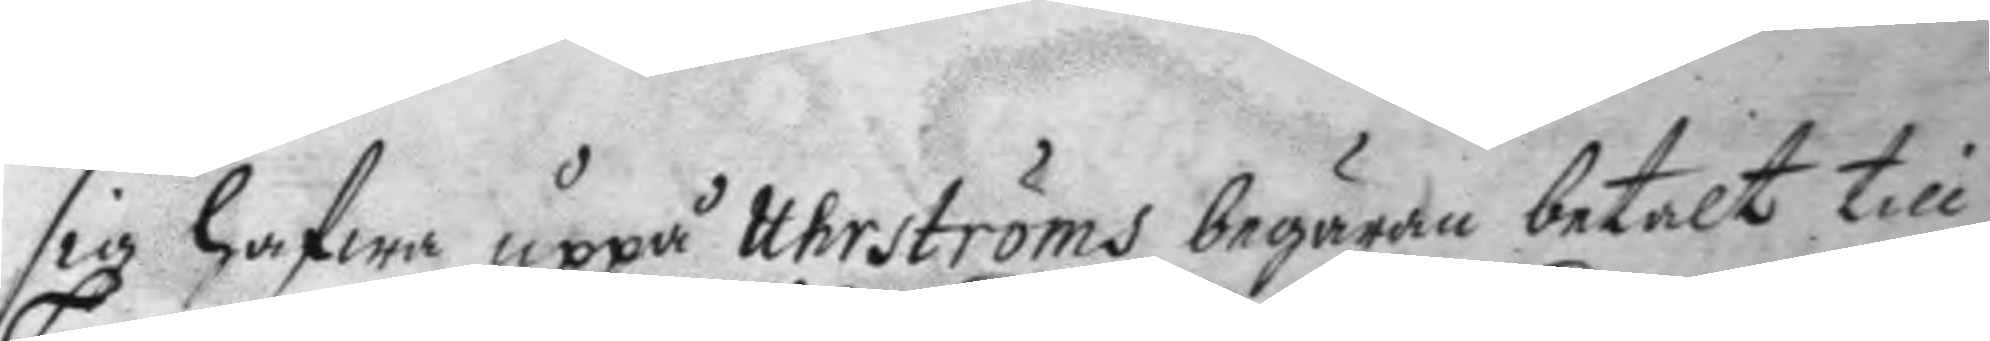sig hafwa uppå Uhrströms begäran betalt till
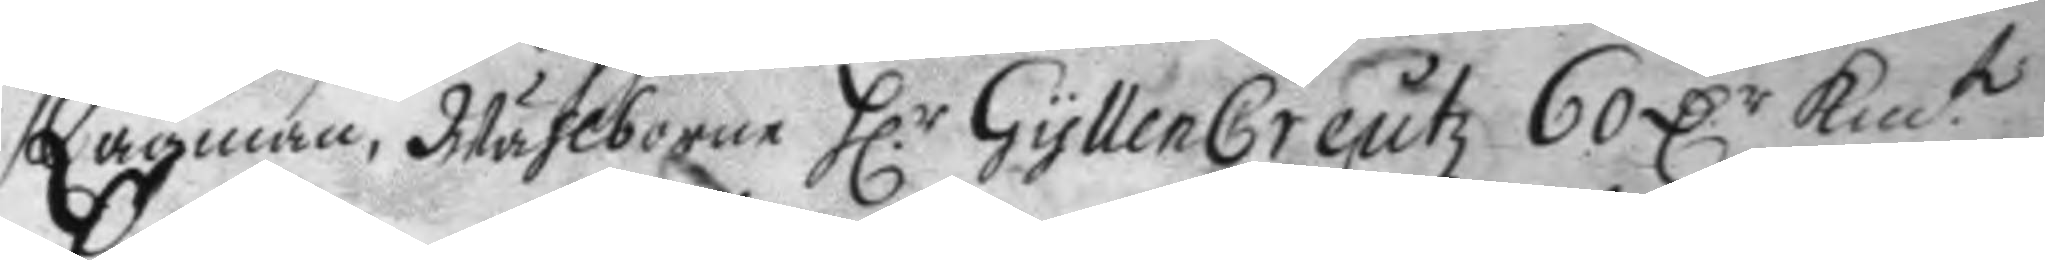Lagman, Wählborne H.r GyllenCreutz 60 D.r Km.t
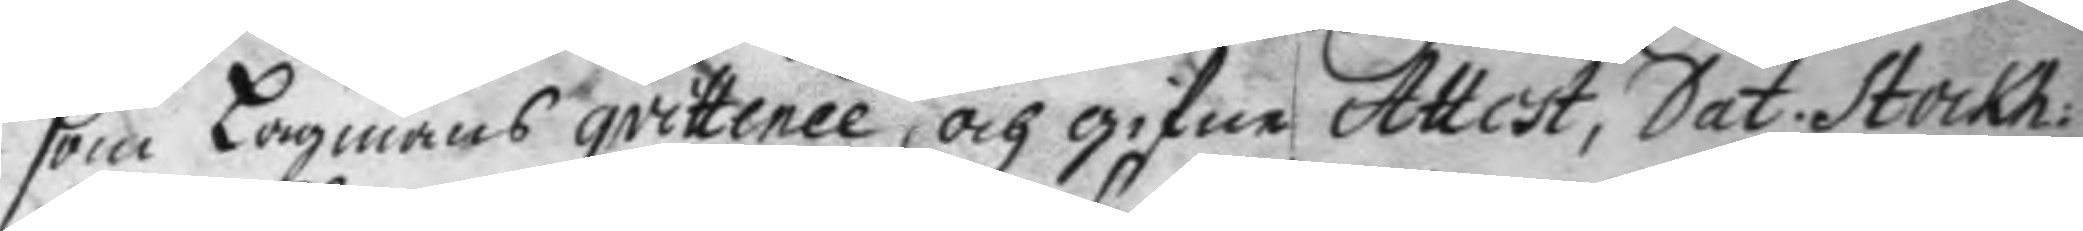som Lagmans qvittence och gifne Attest, dat. Stock:
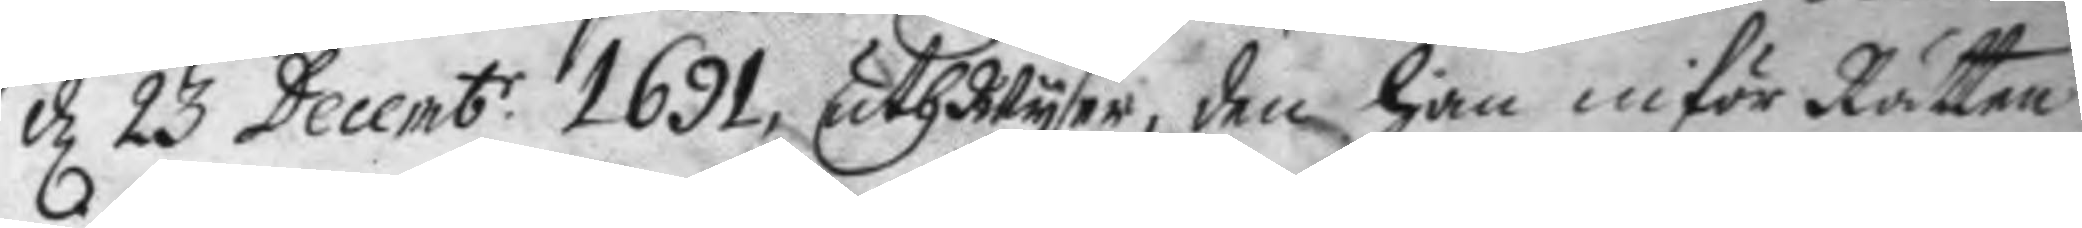d 23 Decemb.r 1691 uthwyser, den han inför Rätten
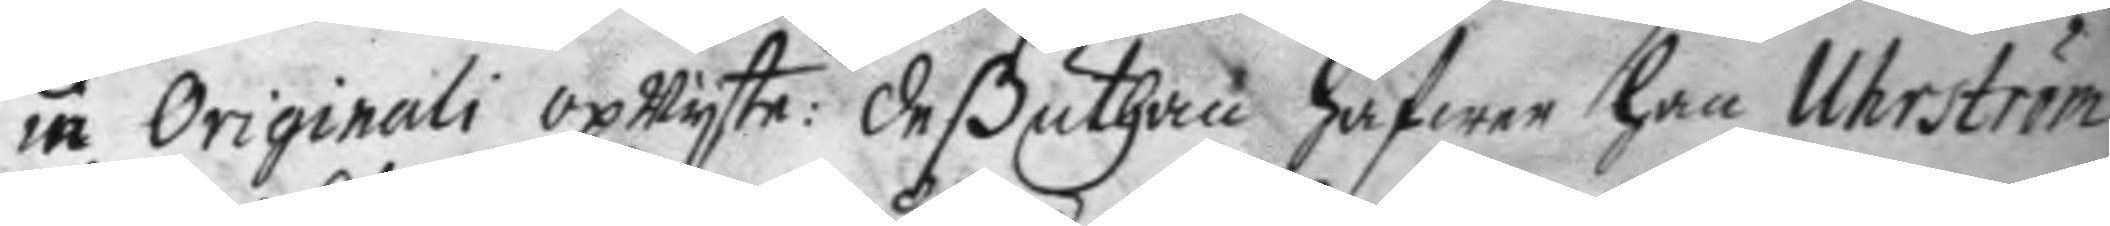in Orginali upwyste: deßuthan hafwer han Uhrström
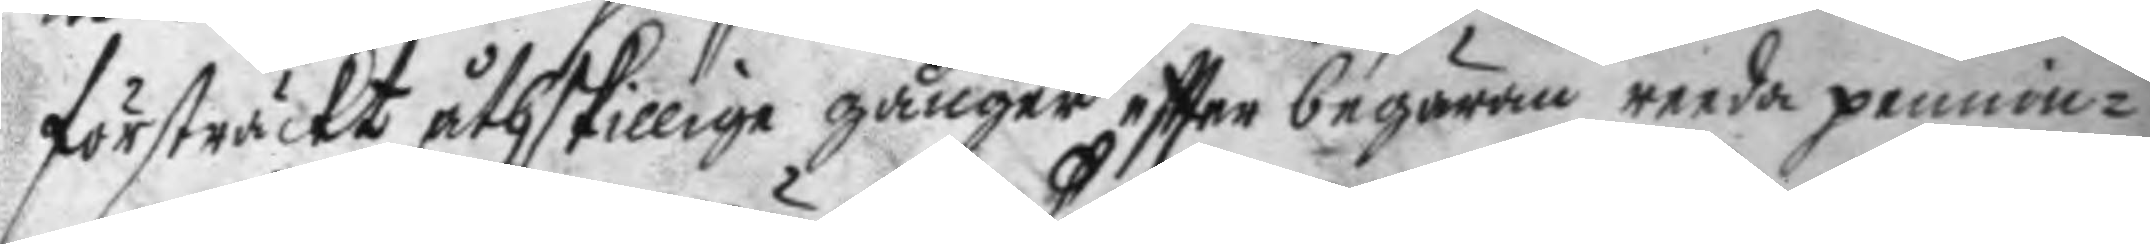försträckt åthskillige gånger eftter begäran reeda pennin¬
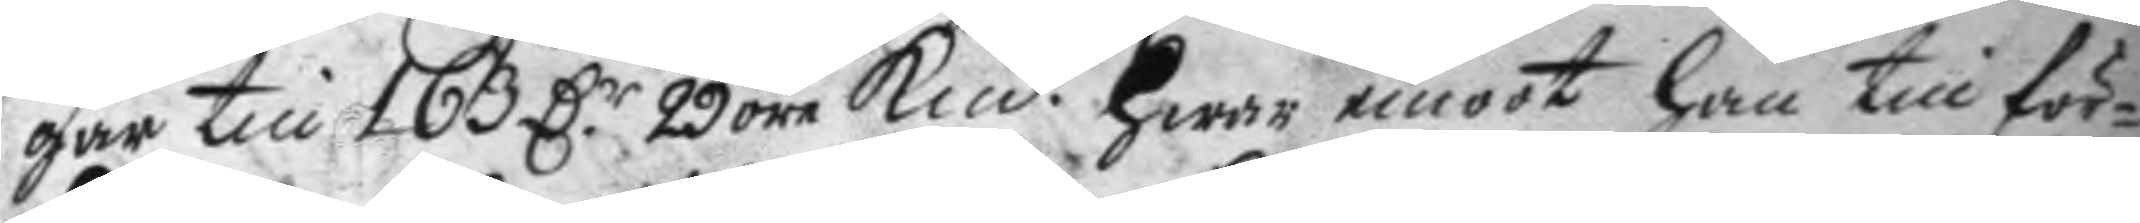gar till 163 D.r 29 öre Kmt. hwar emoot han till för¬
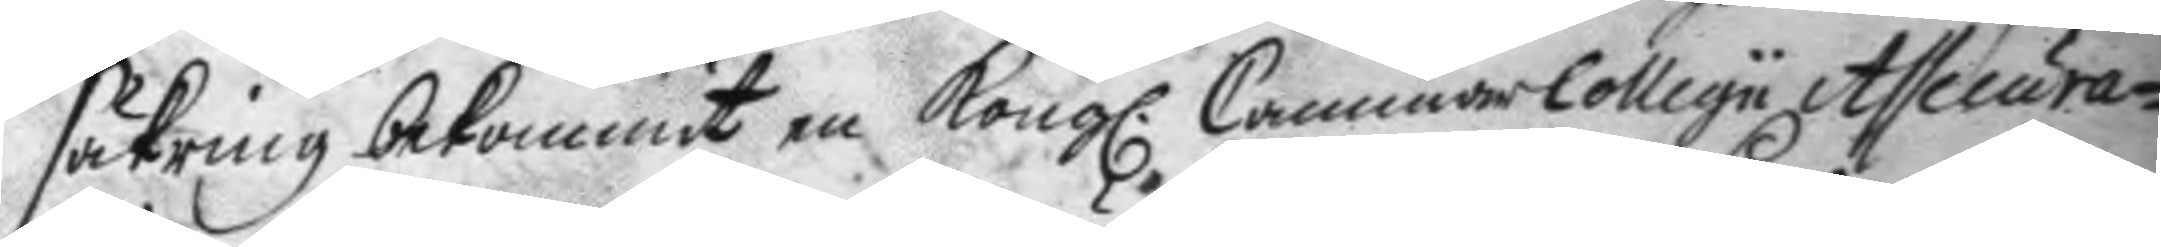säkring bekommit en Kong. CammarCollegu Assecura¬
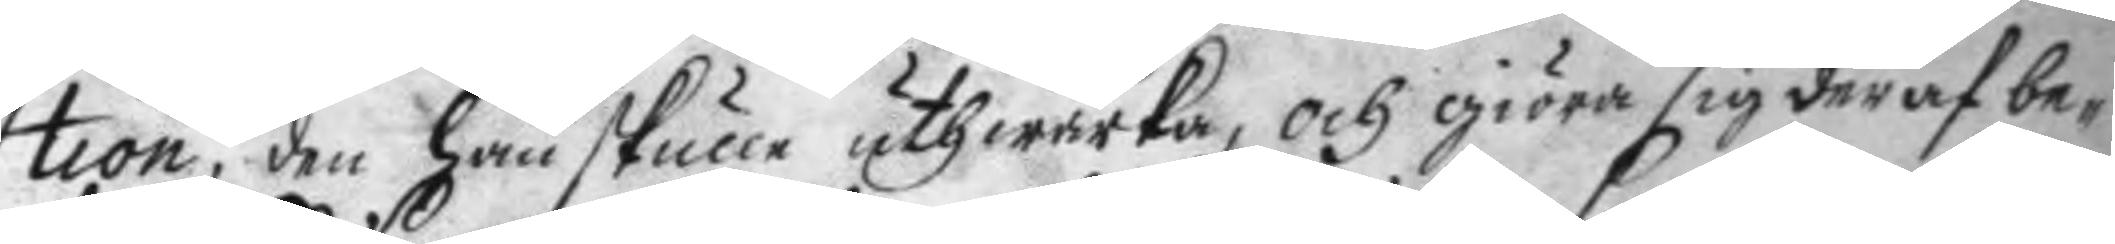tion, den han skulle uthwärka, och giöra sig deraf be¬
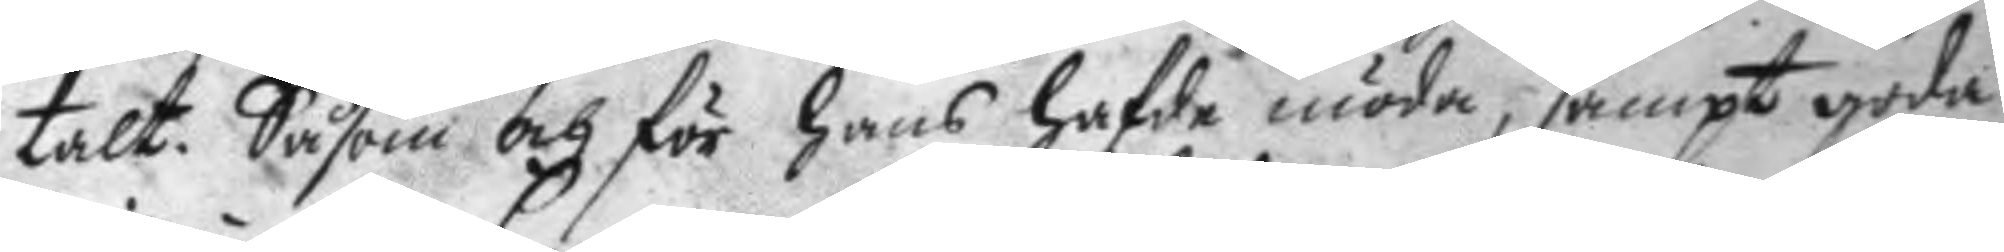talt. Såsom och för hans hafde möda, sampt gode
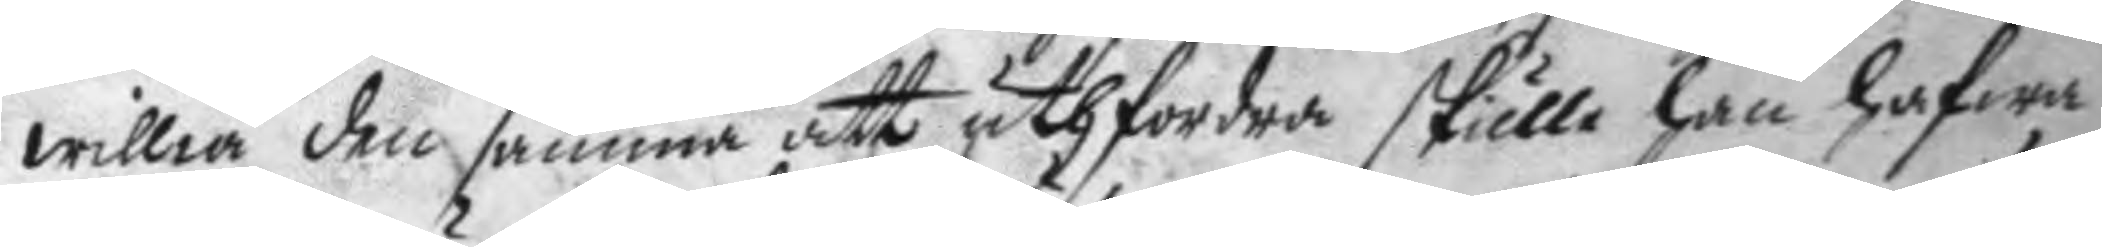willia den samma att uthfordra skulle han hafwa
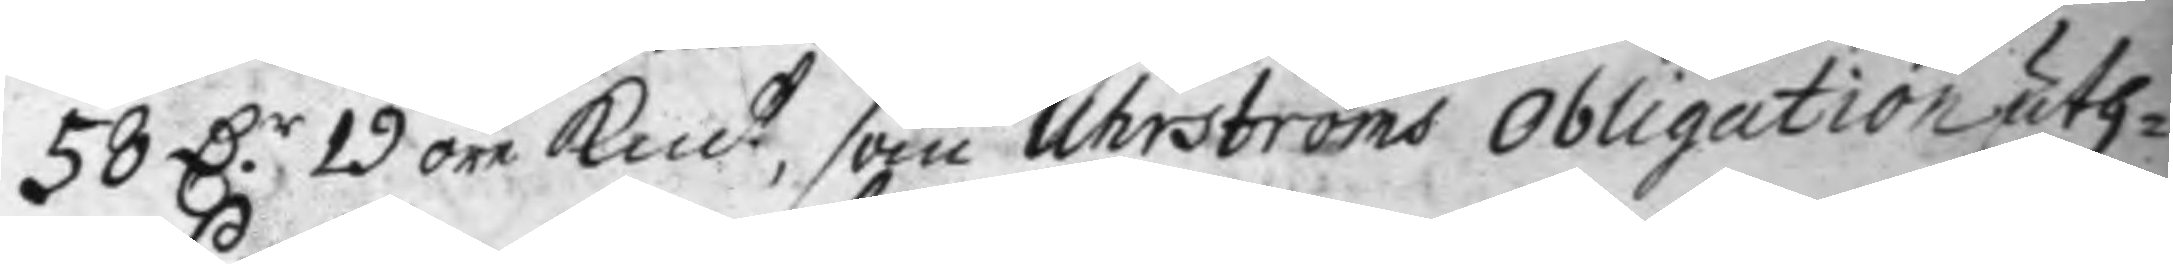58 D.r 19 öre Kmt, som Uhrströms obligation uth¬
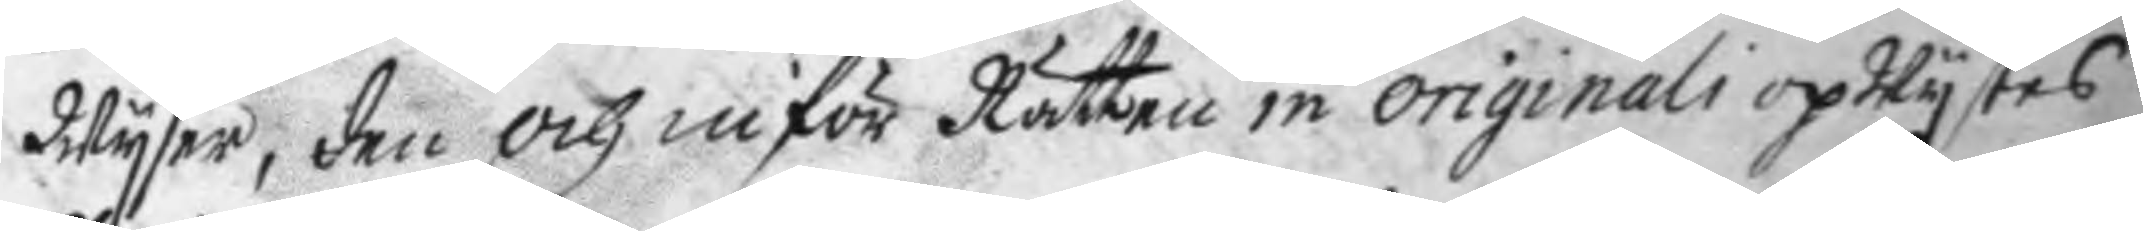Wyser, den och inför Rätten in orginali opWystes
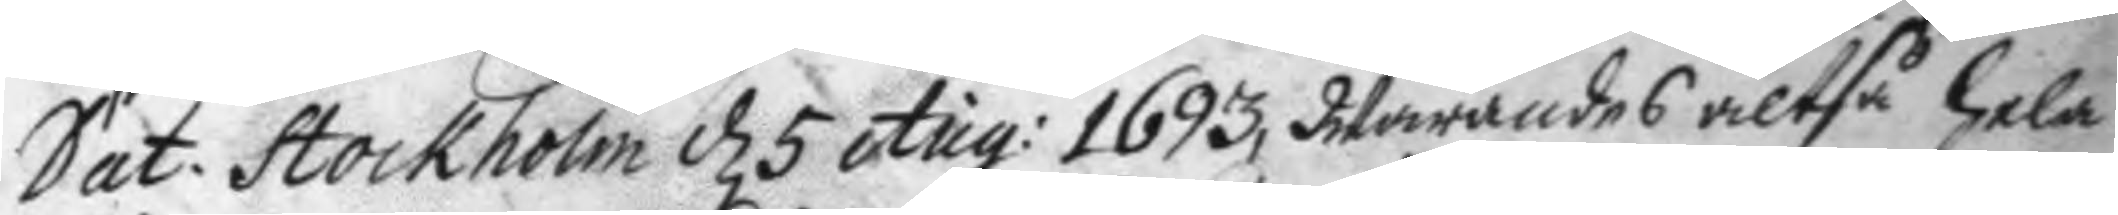Dat: Stockholm d 5 Aug: 1693, Warandes altså hela
